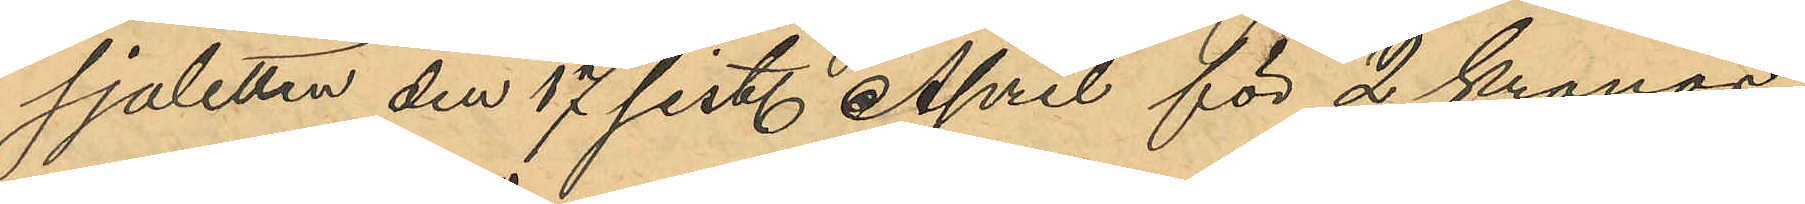sjaletten den 17 sist. April för 2 Kronor
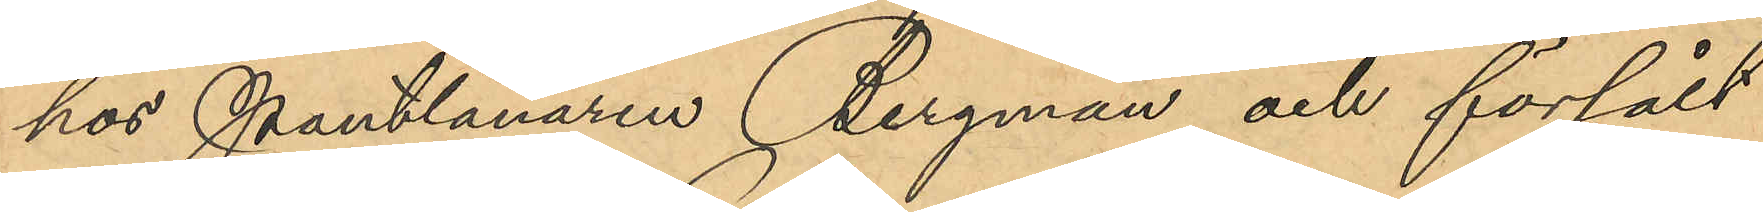hos Pantlånaren Bergman och försålt
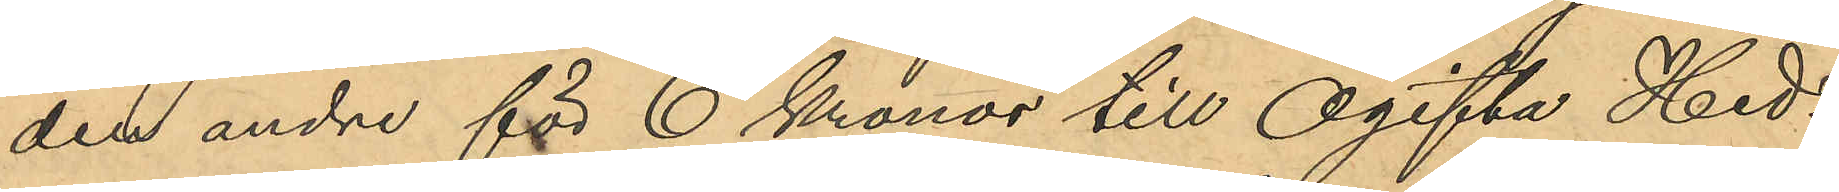den andre för 6 Kronor till Ogifta Hed¬
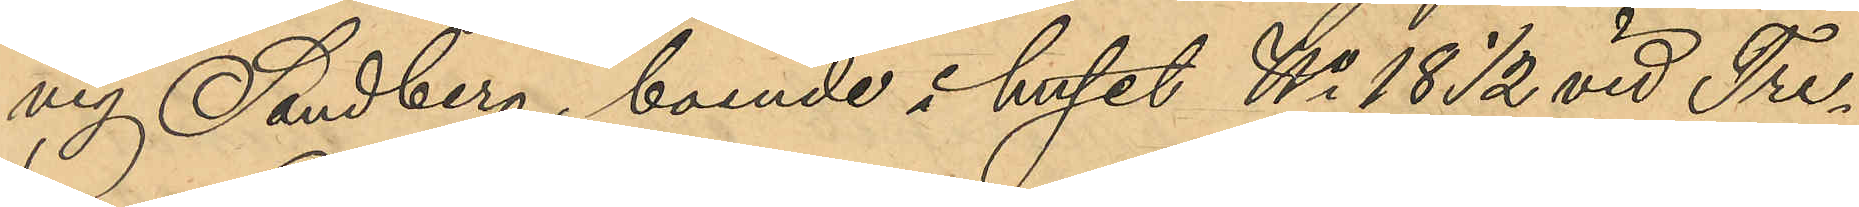vig Sandberg, boende i huset No 18 ½ vid Tre¬
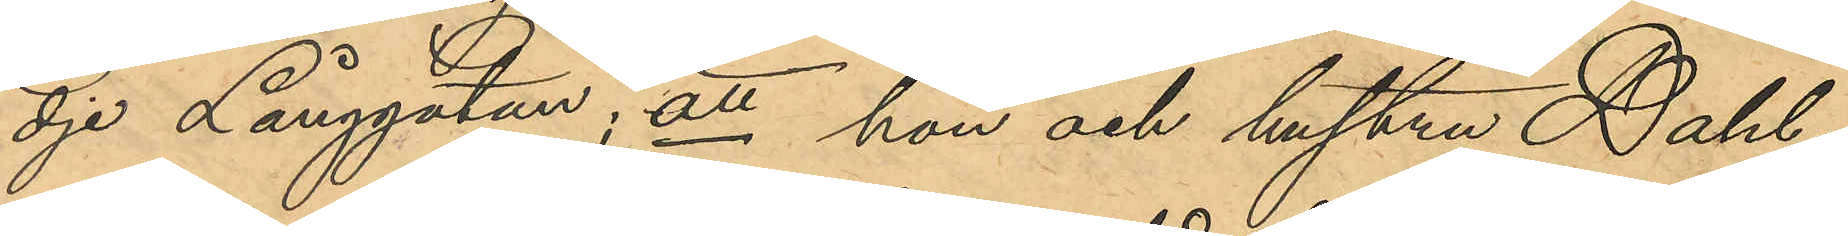dje Långgatan; att hon och hustru Dahl¬
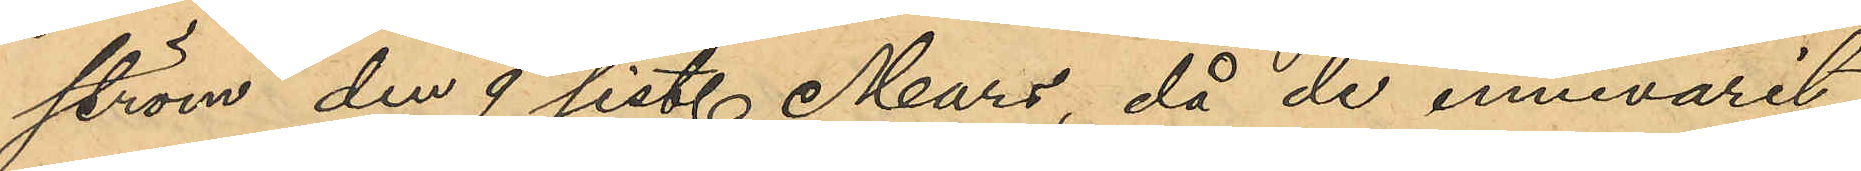ström den 9 sist. Mars, då de innevarit
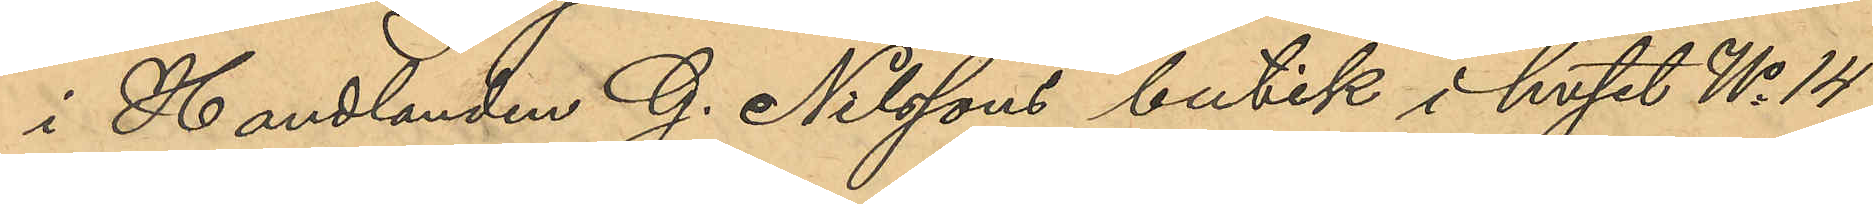i Handlanden G. Nilssons butik i huset No 14
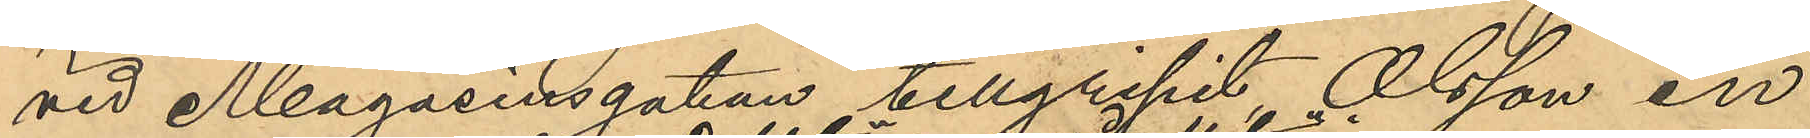vid Magasinsgatan tillgripit Olsson en
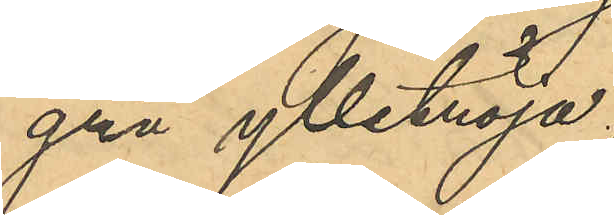grå ylletröja,
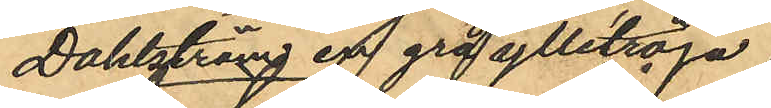Dahlström en grå ylletröja
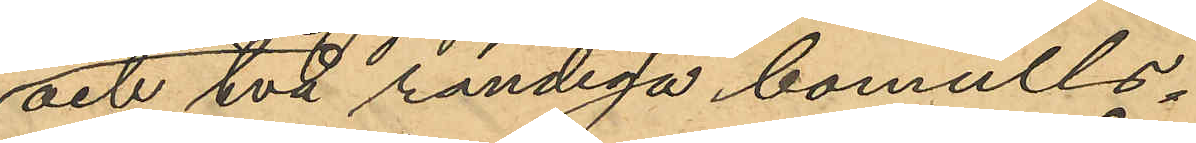och två randiga bomulls¬
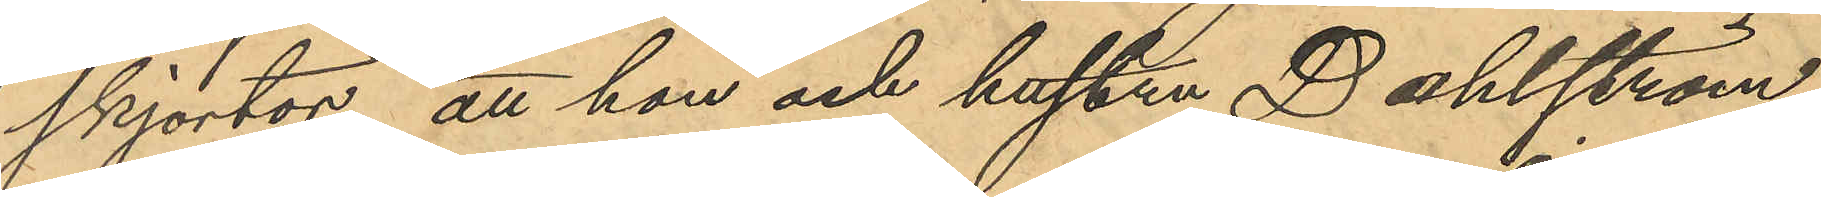skjortor; att hon och hustru Dahlström
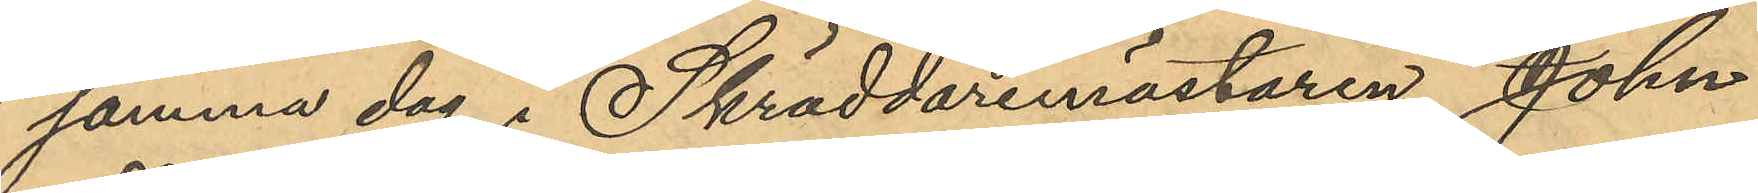samma dag i Skräddaremästaren John
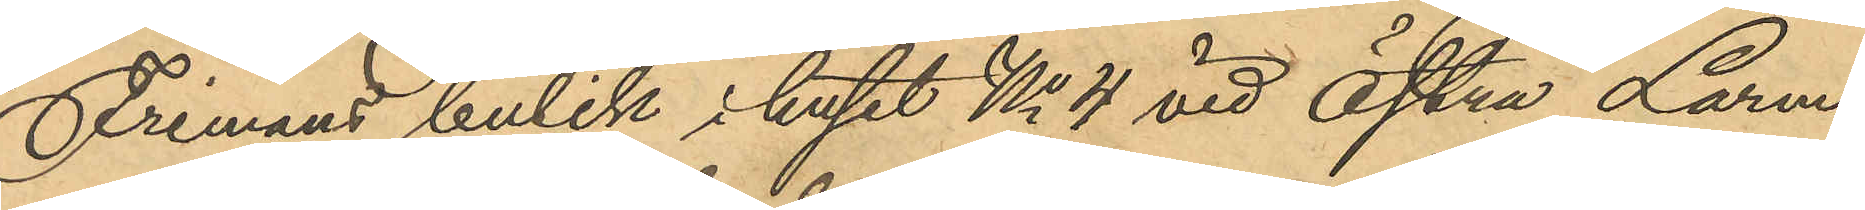Frimans butik i huset No 4 vid Östra Larm¬
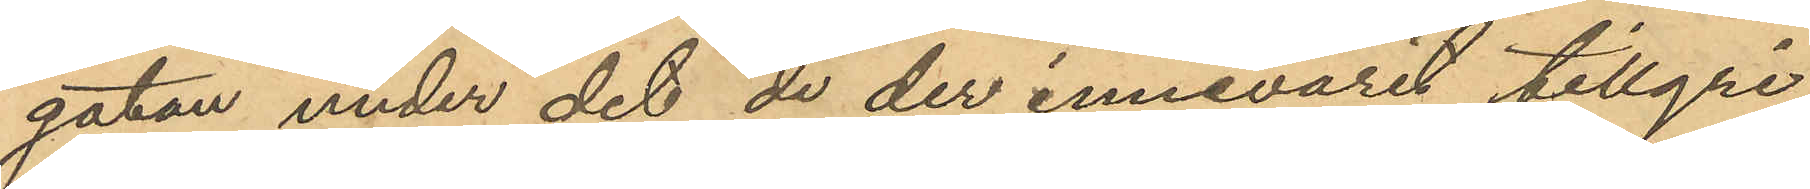gatan, under det de der innevarit tillgri¬
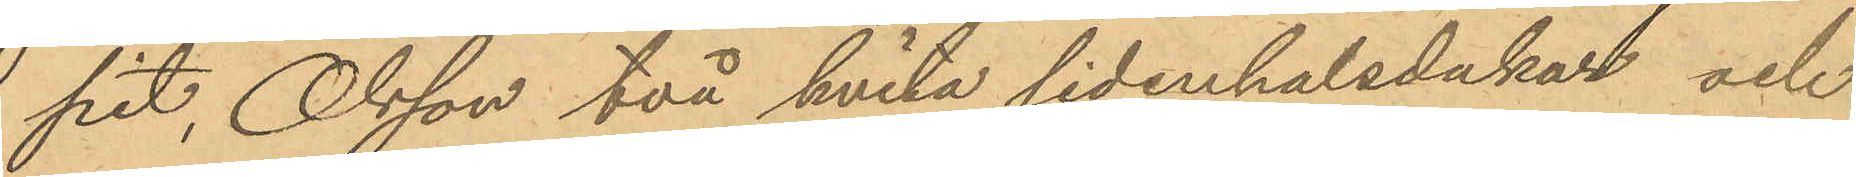pit, Olsson två hvita sidenhalsdukar och
